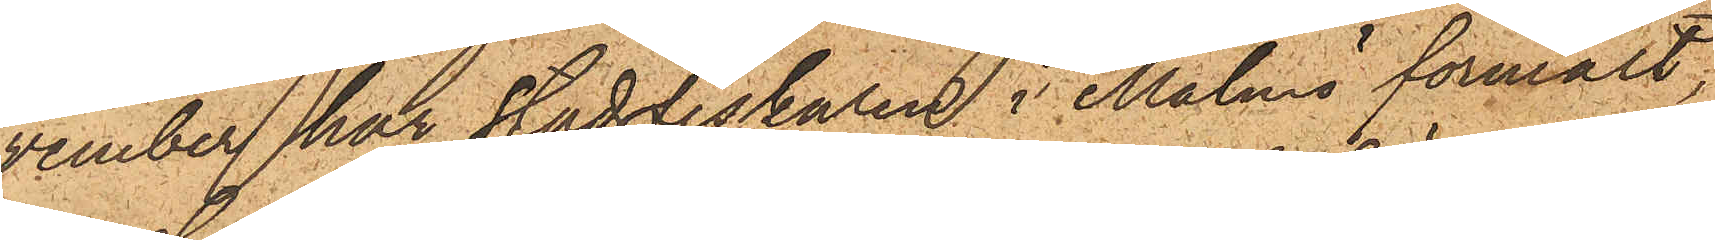vember har Stadsfiskalen i Malmö förmält,
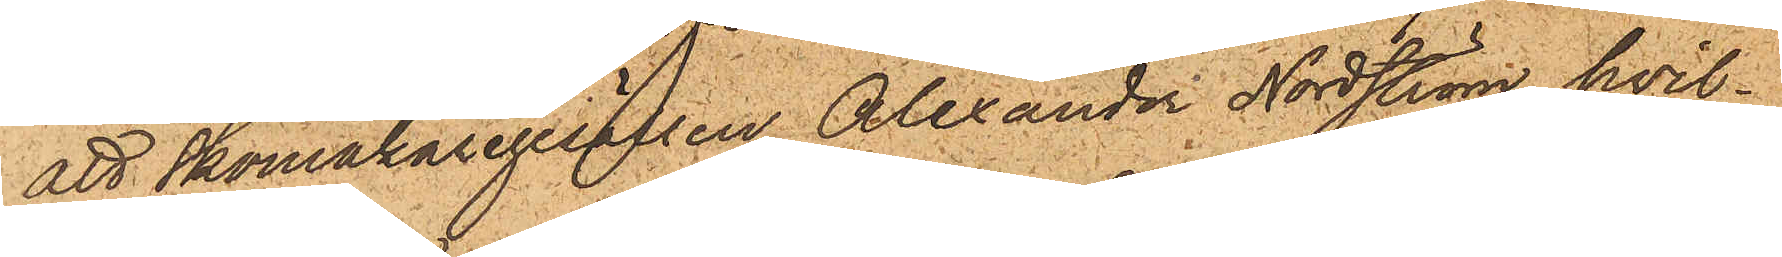att Skomakaregesällen Alexander Nordström, hvil¬
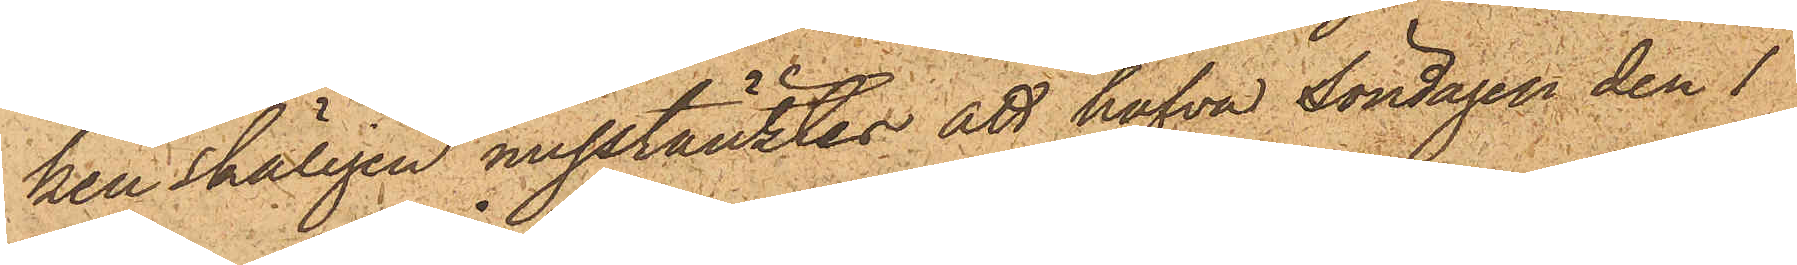ken skäligen misstänktes att hafva Söndagen den 1
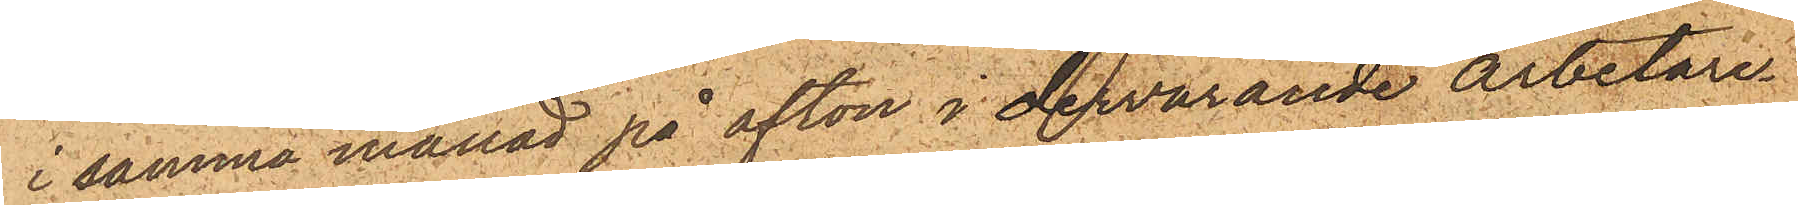i samma månad på afton i dervarande arbetare¬
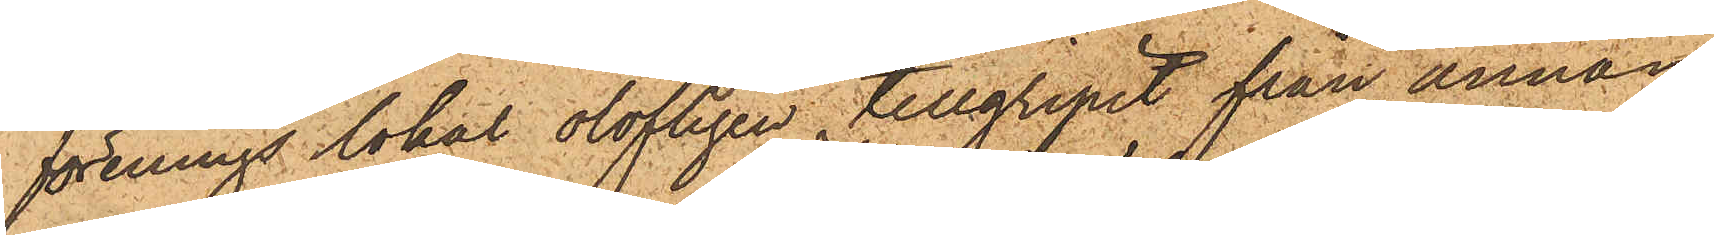förenings lokal olofligen tillgripit från annan
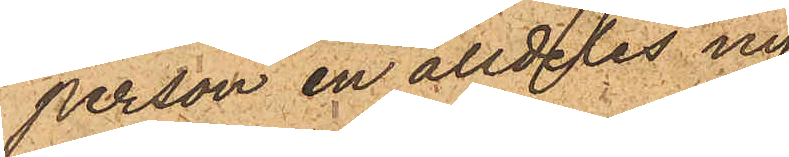person en alldeles ny
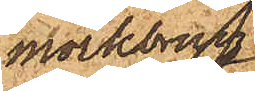mörkbrun
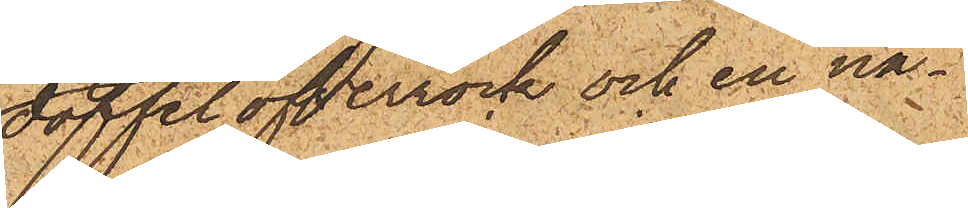doffelöfverrock och en nä¬
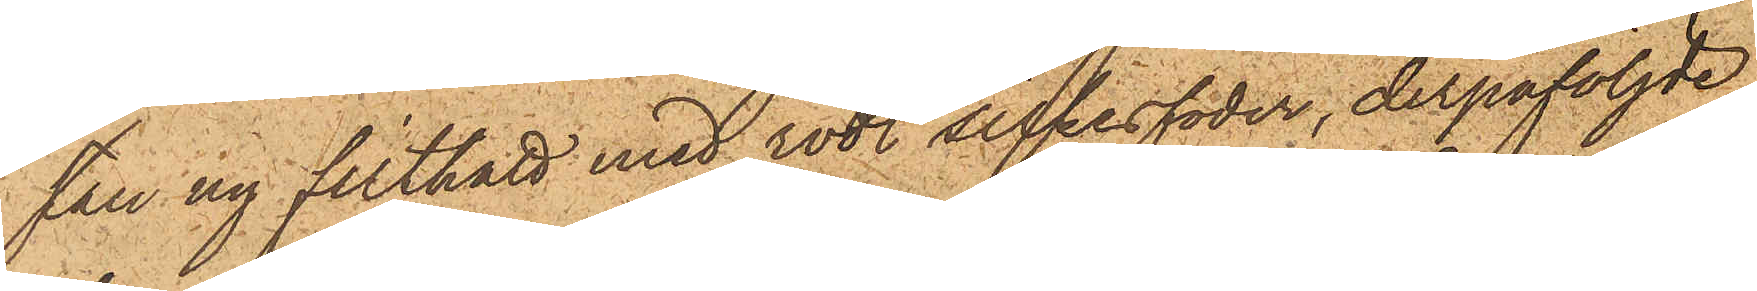stan ny filthatt med rödt silkesfoder, derpåföljde
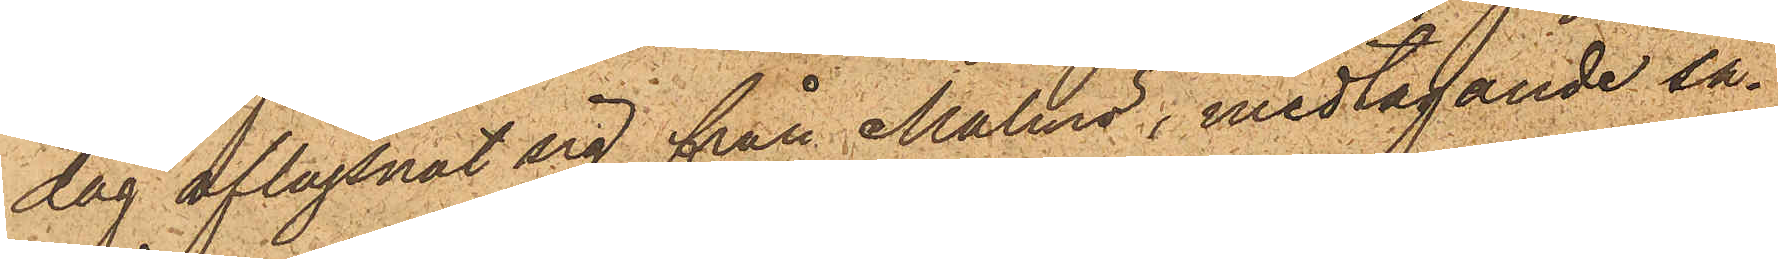dag aflägsnat sig från Malmö, medtagande så¬
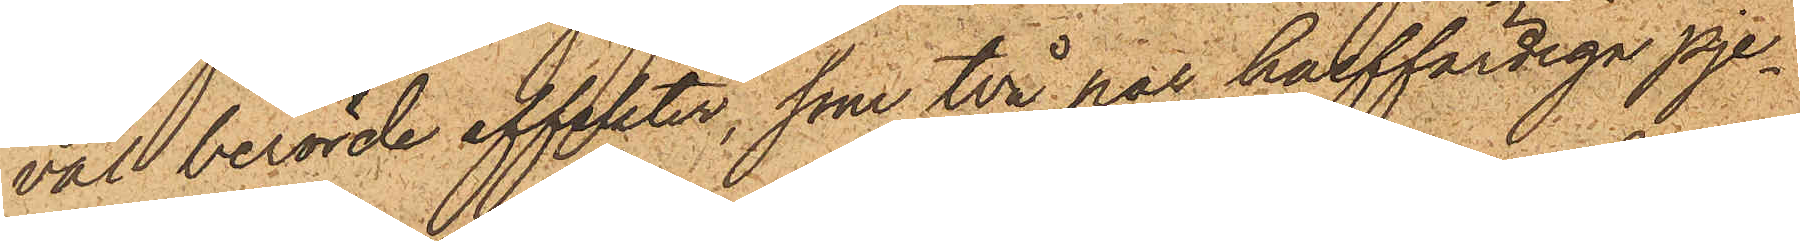väl berörde effekter, som två par halffärdiga pje¬
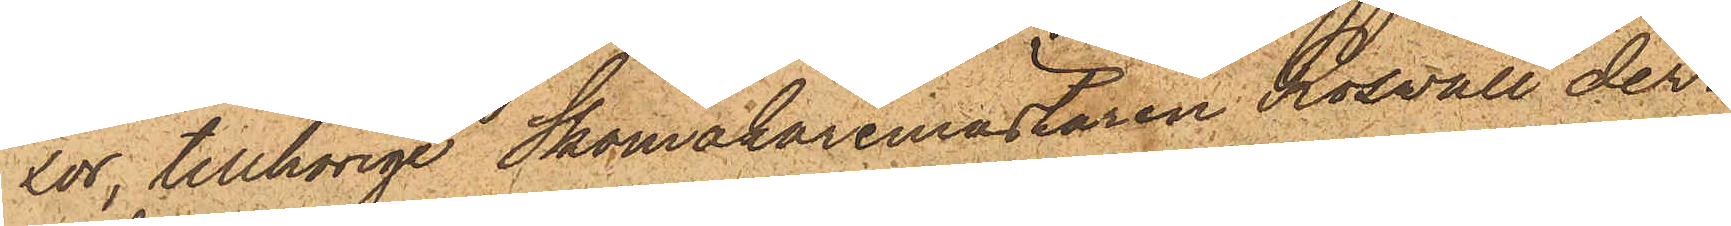xor, tillhörige Skomakaremästaren Roswall der¬
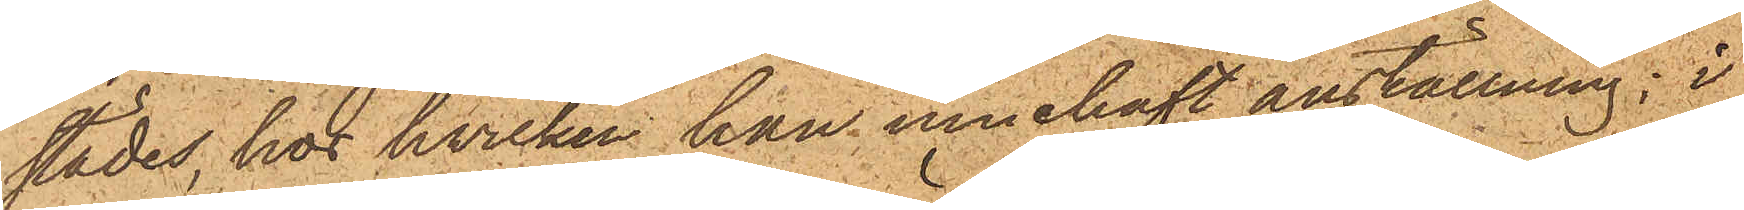städes, hos hvilken han innehaft anställning; i
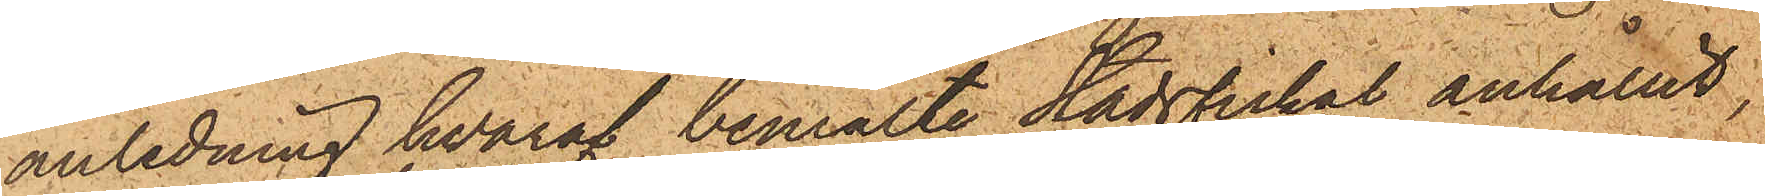anledning hvaraf bemälte Stadsfiskal anhållit,
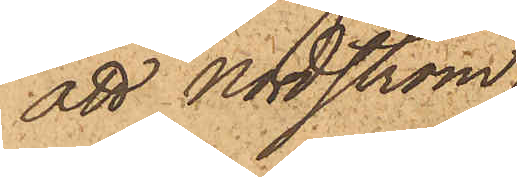att Nordström.
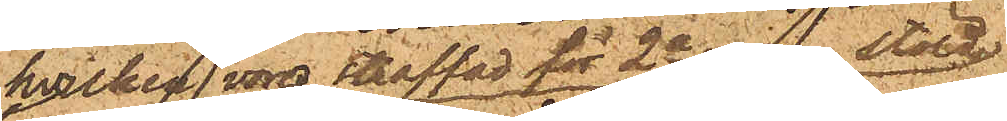hvilken vore straffad för 2ra resan stöld,
